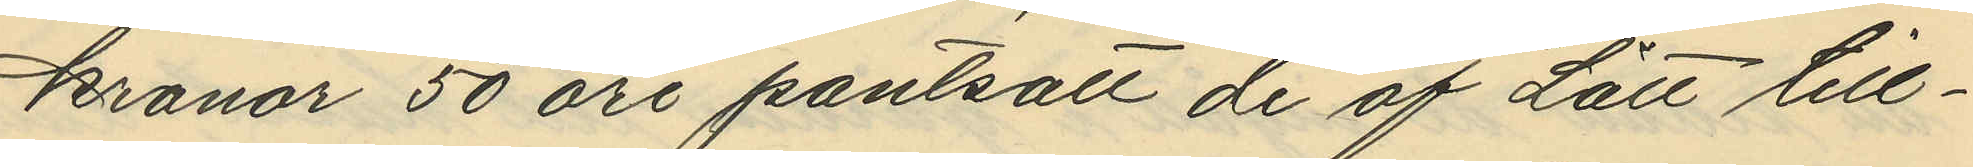kronor 50 öre pantsatt de af Lätt till¬
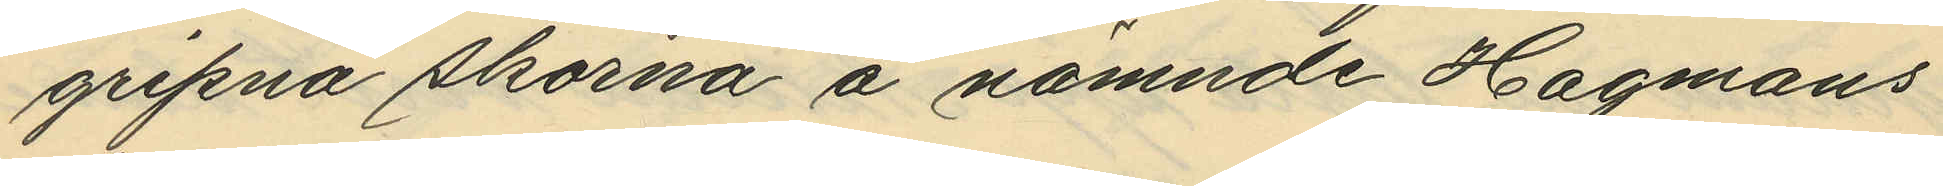gripna skorna å nämnde Hagmans
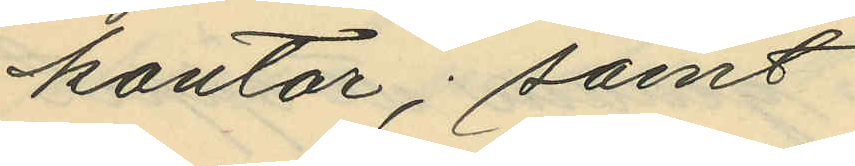kontor; samt
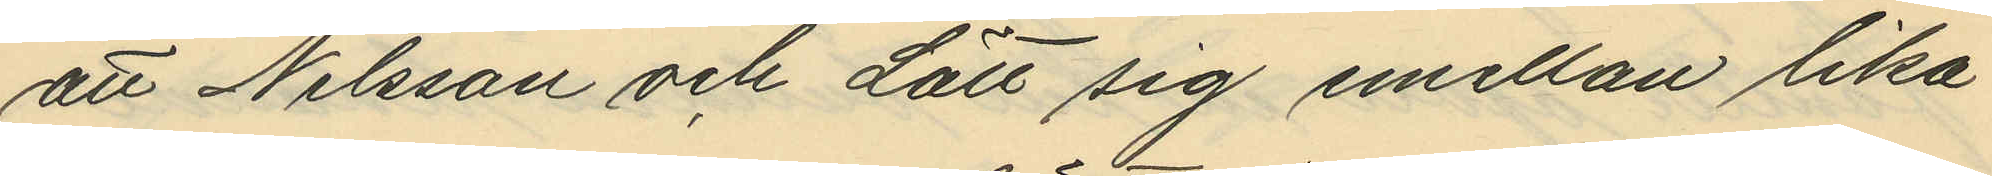att Nilsson och Lätt sig emellan lika
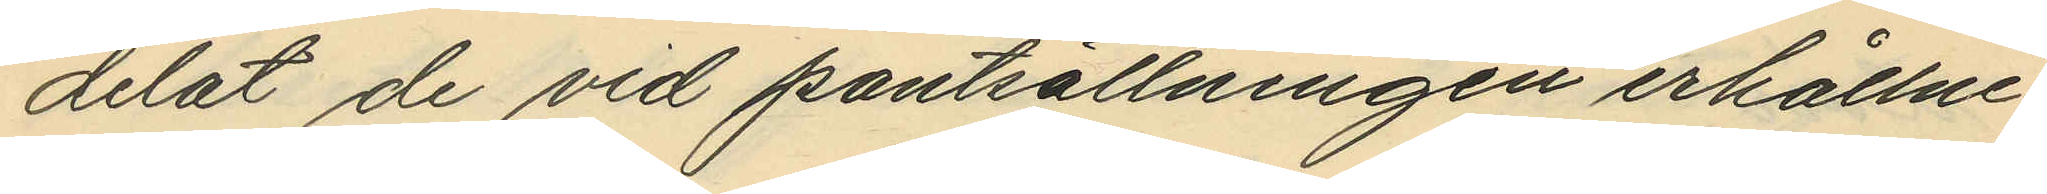delat de vid pantsättningen erhållne
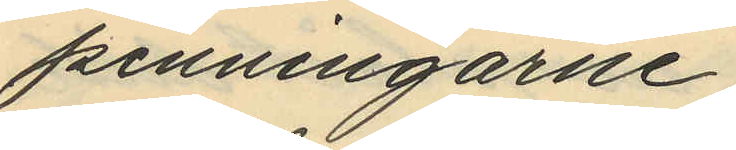penningarne
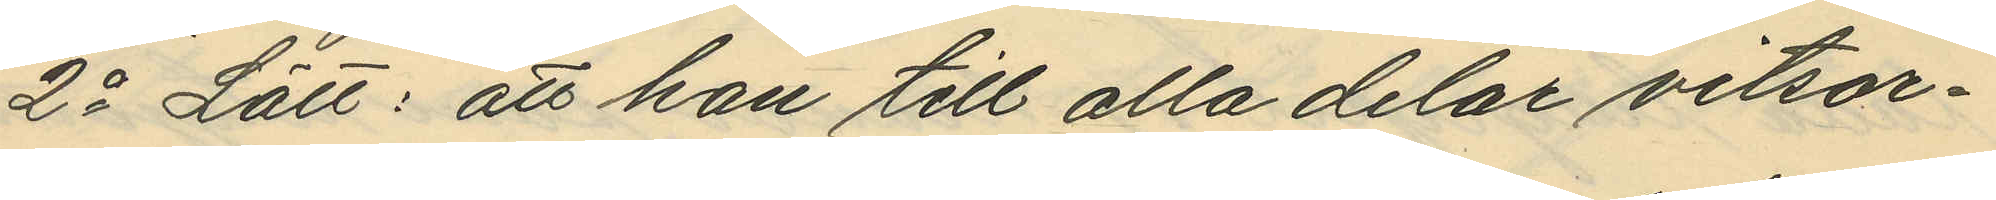2o Lätt: att han till alla delar vitsor¬
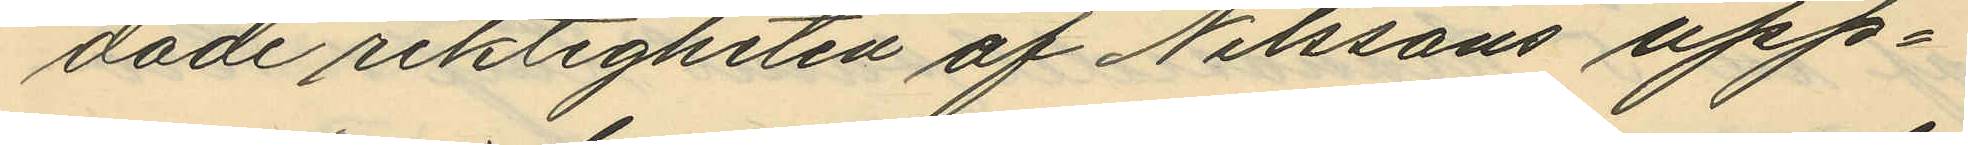dade riktigheten af Nilssons upp¬
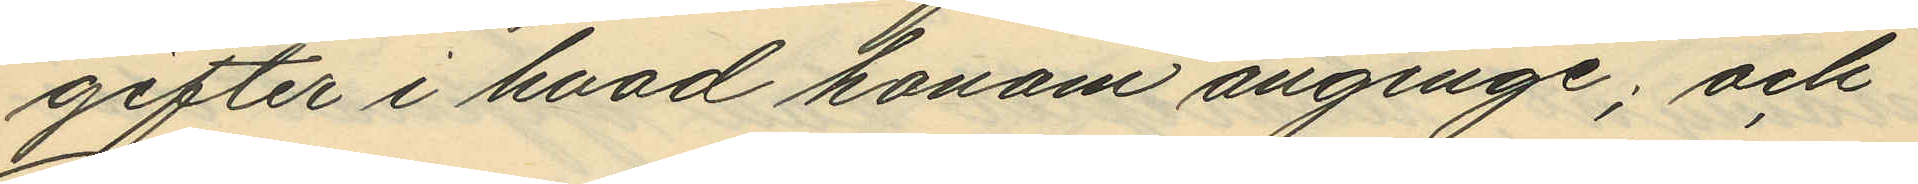gifter i hvad honom anginge; och
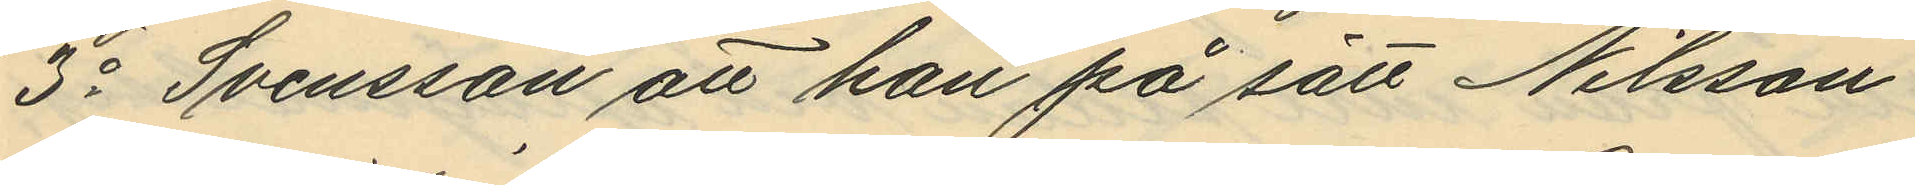3o Svensson att han på sätt Nilsson
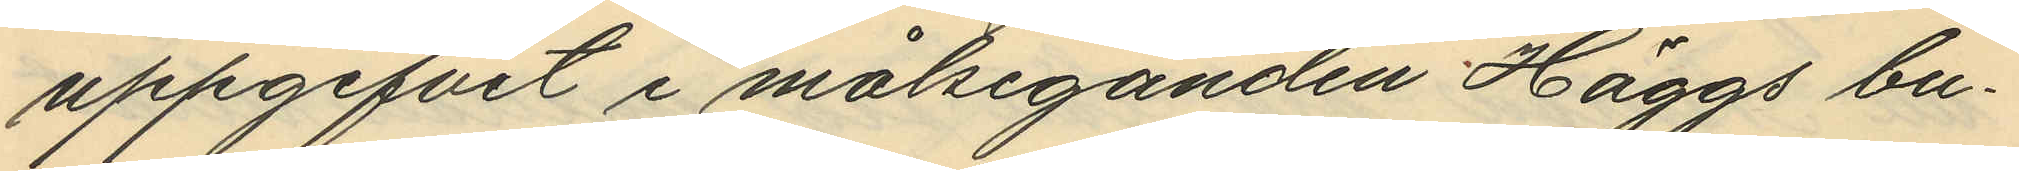uppgifvit i målseganden Häggs bu¬
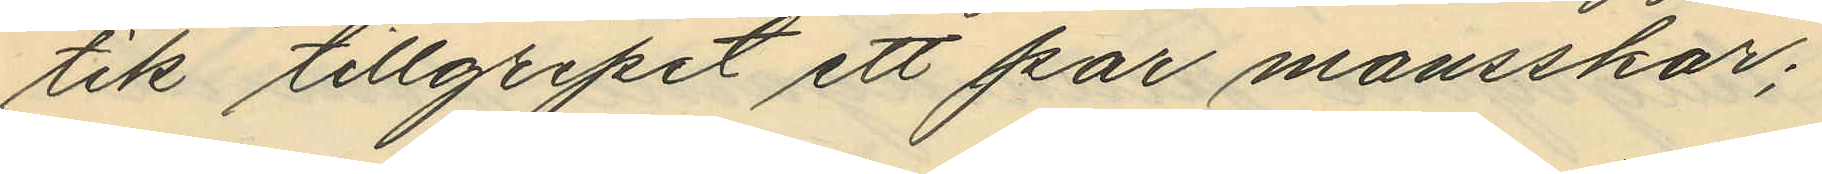tik tillgripit ett par mansskor;
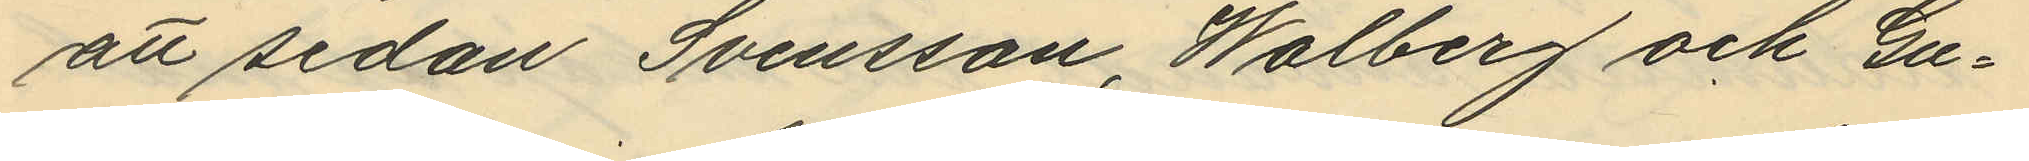att sedan Svensson, Walberg och Gu¬
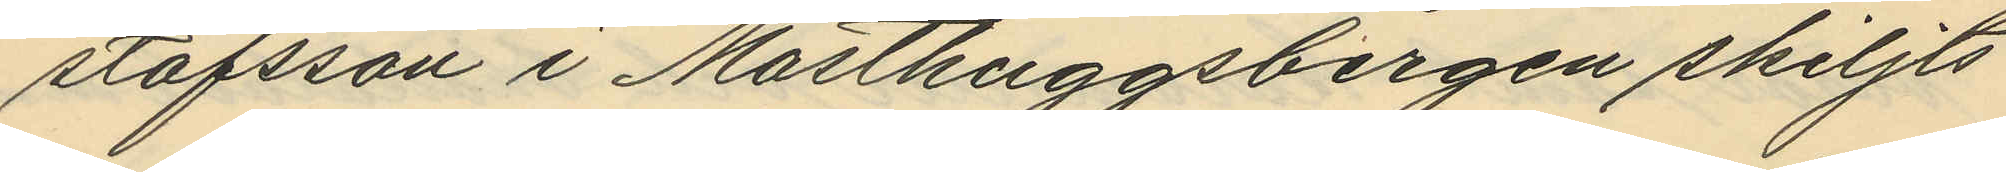stafsson i Masthuggsbergen skiljts
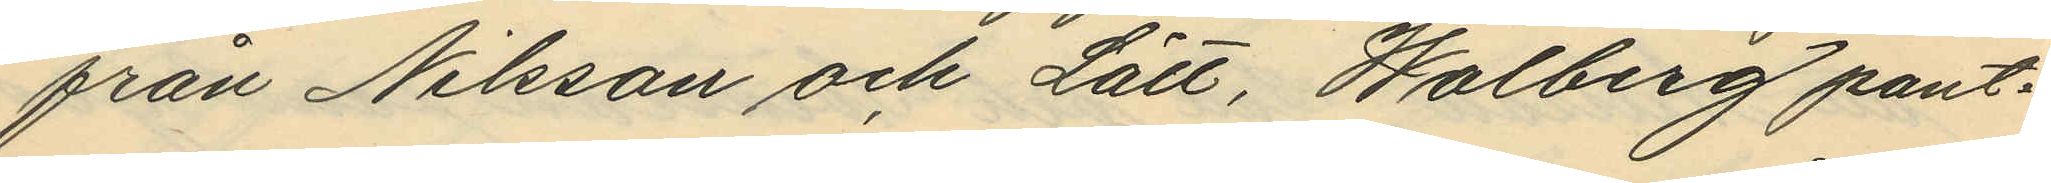från Nilsson och Lätt, Walberg pant¬
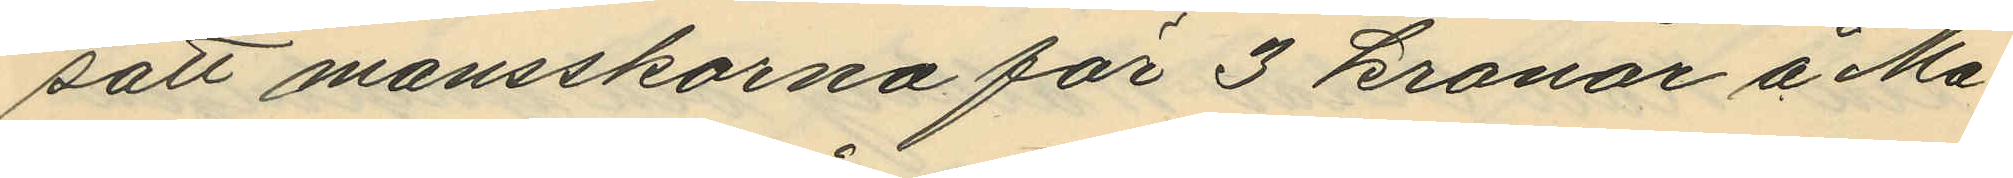satt mansskorna för 3 kronor å Ma¬
